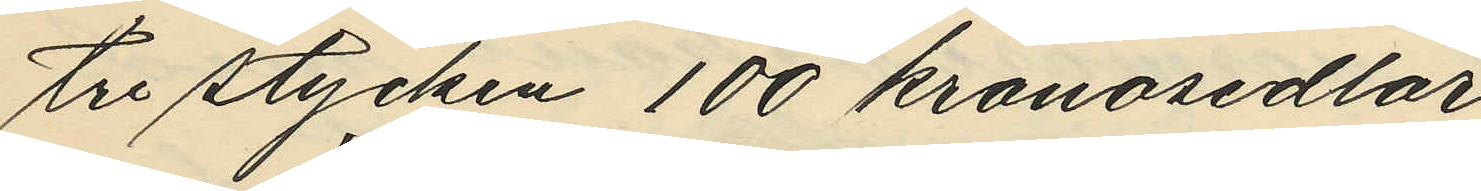tre stycken 100 kronosedlar,
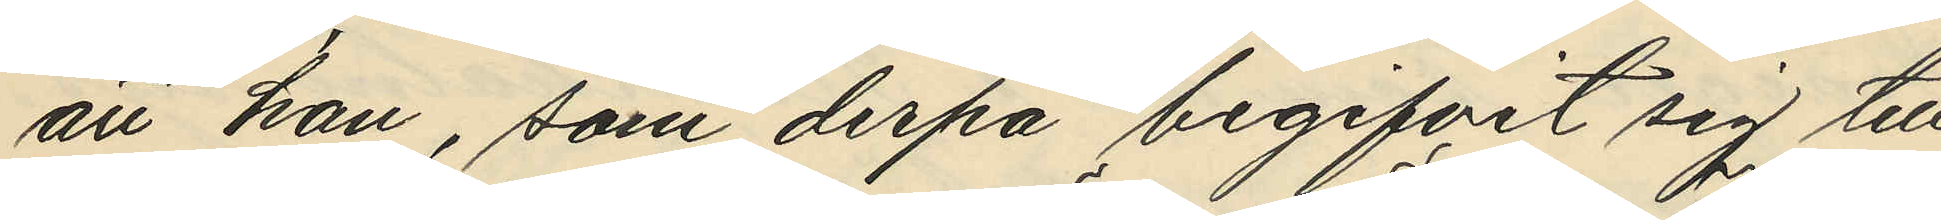att han, som derpå begifvit sig till
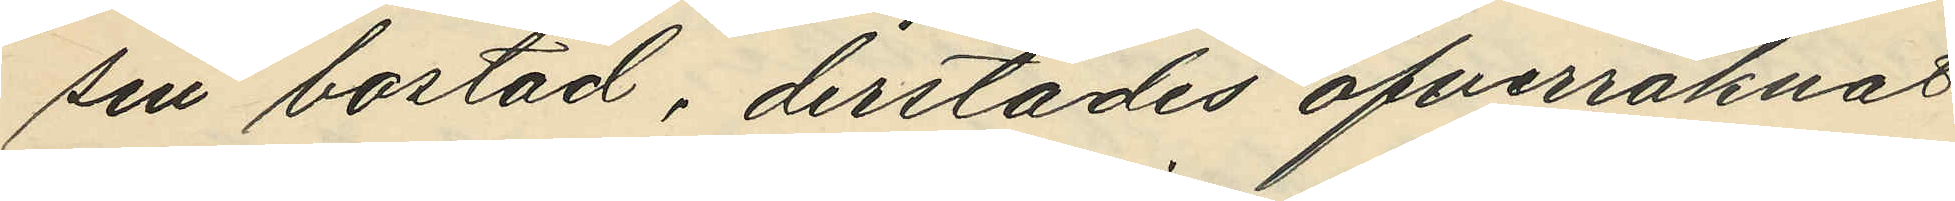sin bostad, derstädes öfverräknat
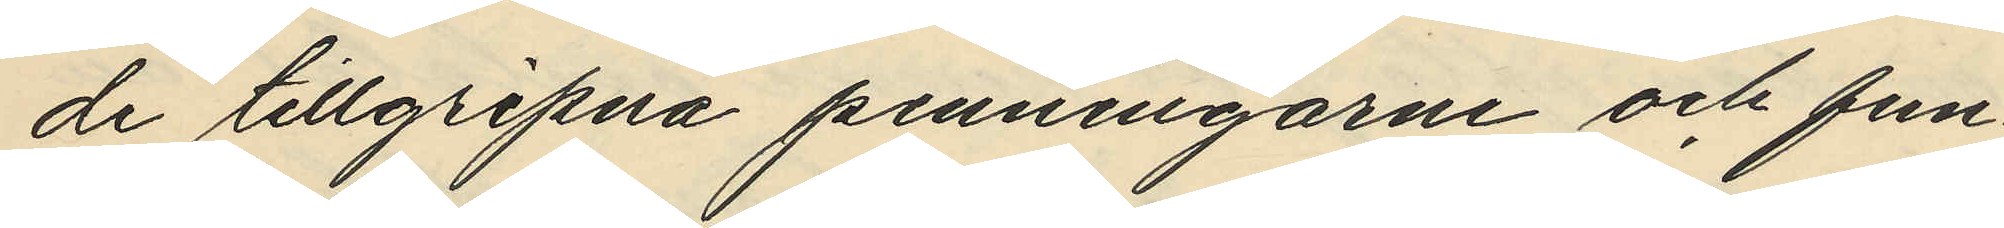de tillgripna penningarne och fun¬
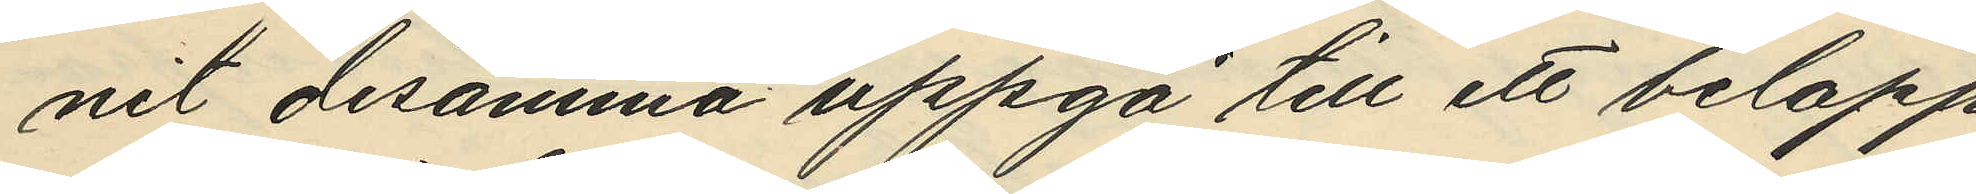nit desamma uppgå till ett belopp
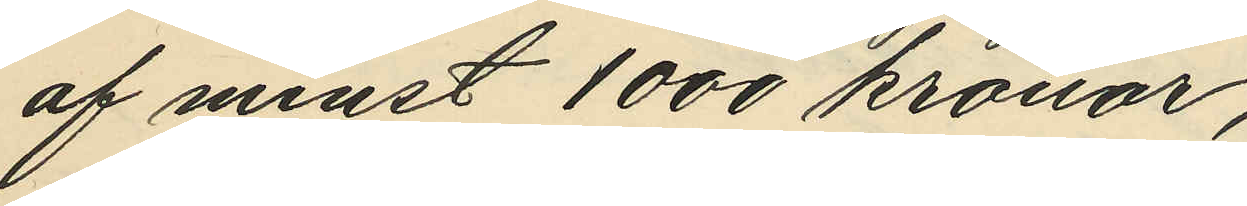af minst 1000 kronor;
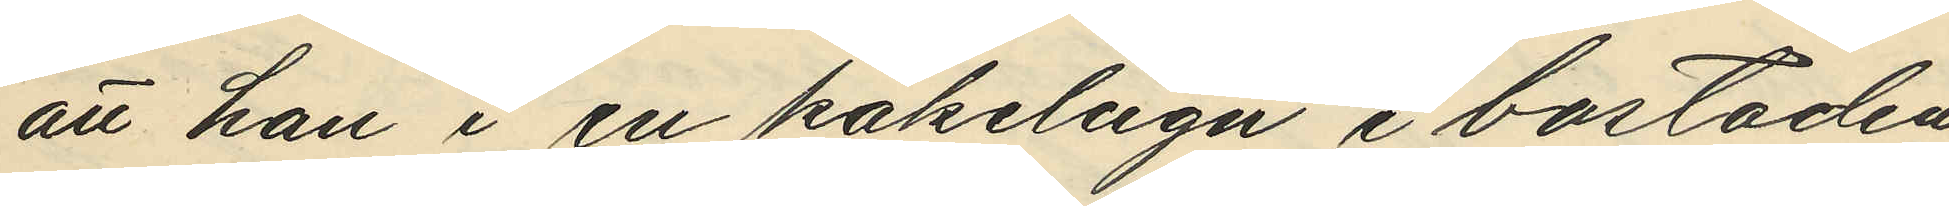att han i en kakelugn i bostaden
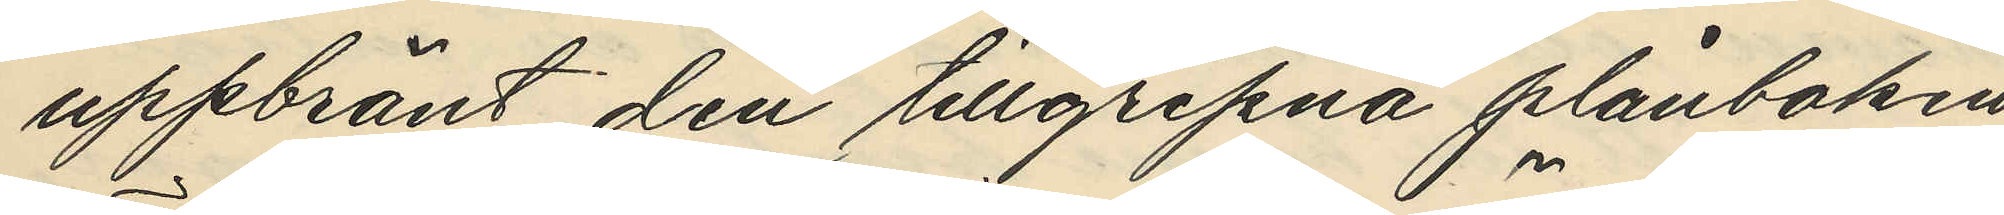uppbränt den tillgripna plånboken,
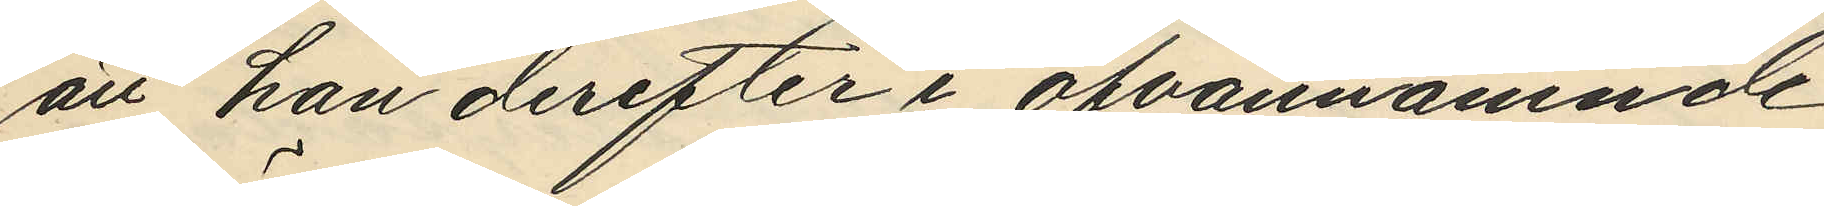att han derefter i ofvannämnde
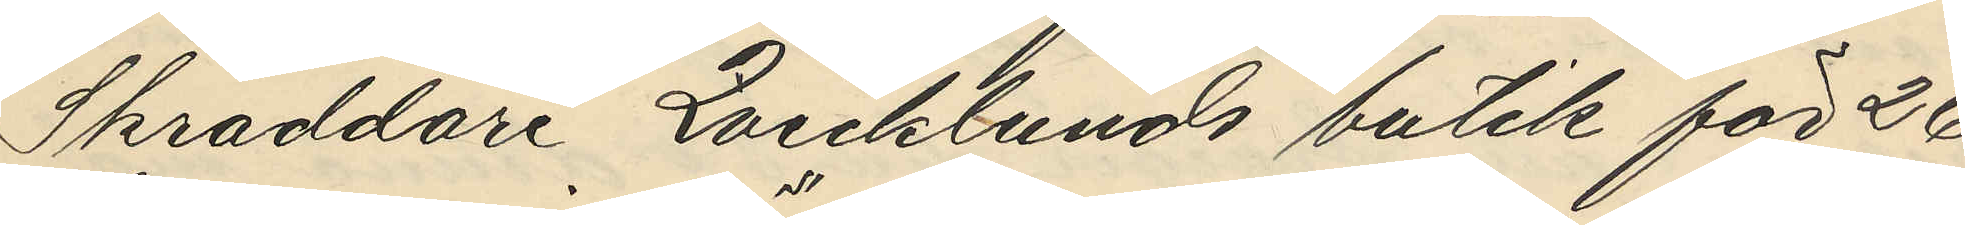Skräddare Qvicklunds butik för 26
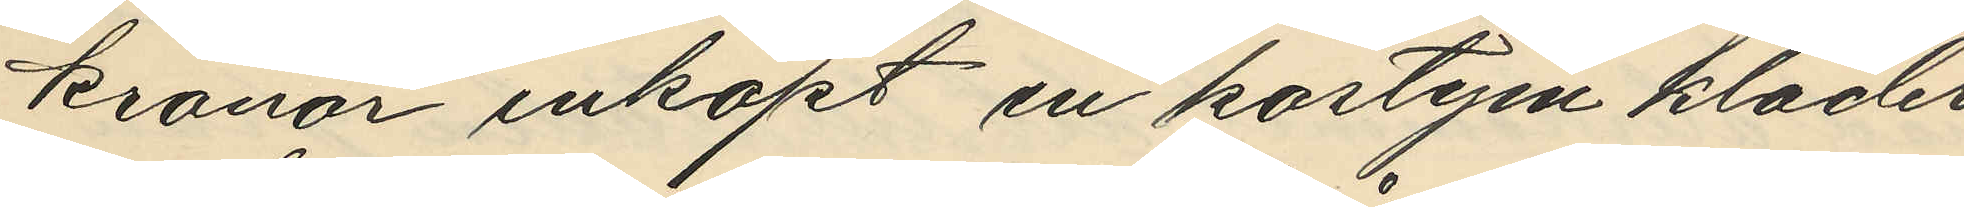kronor inköpt en kostym kläder,
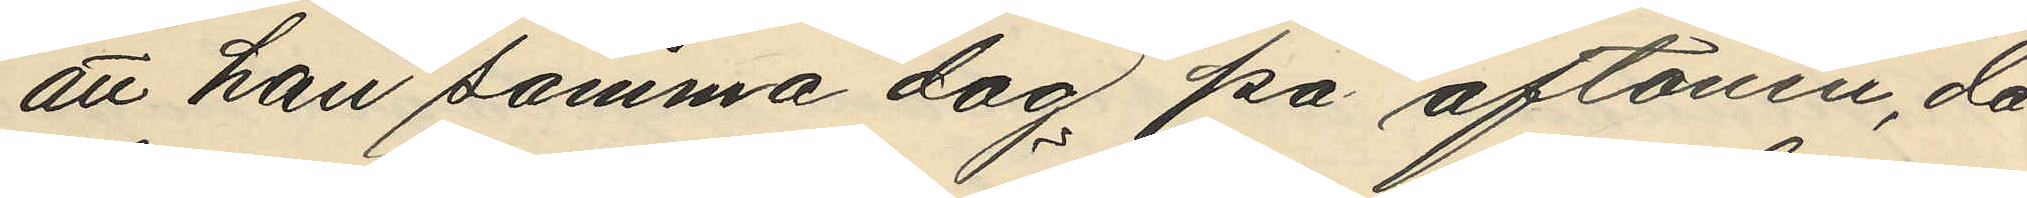att han samma dag på aftonen, då
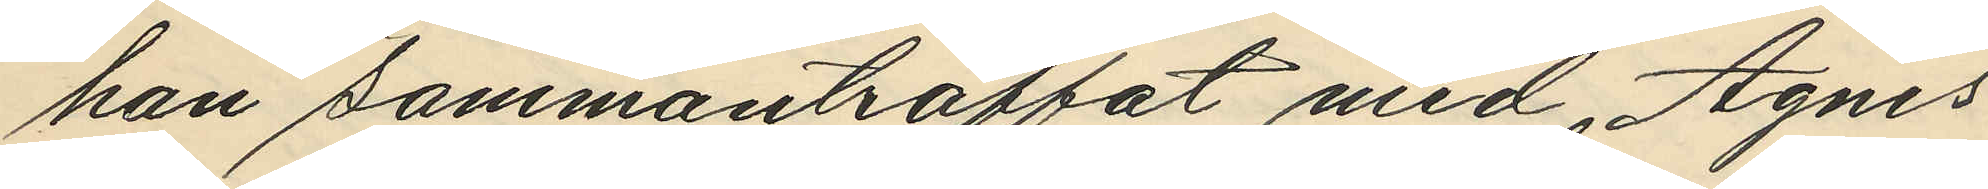han sammanträffat med Agnes
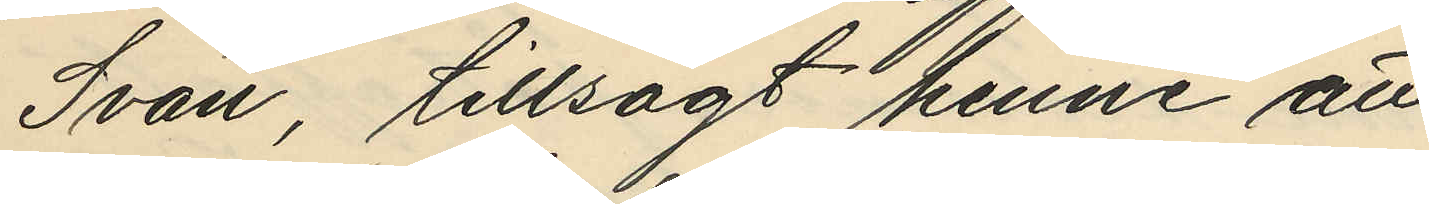Svan, tillsagt henne att
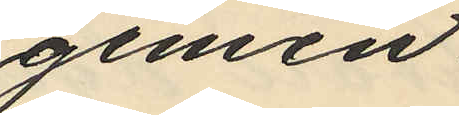gemen¬
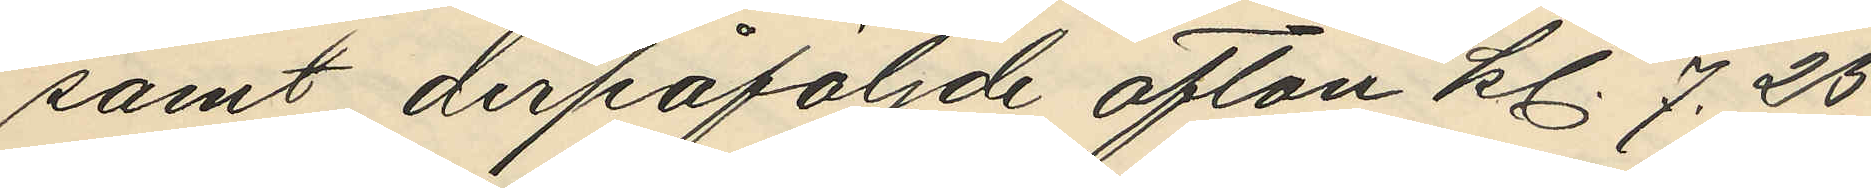samt derpåföljde afton kl. 7.25
